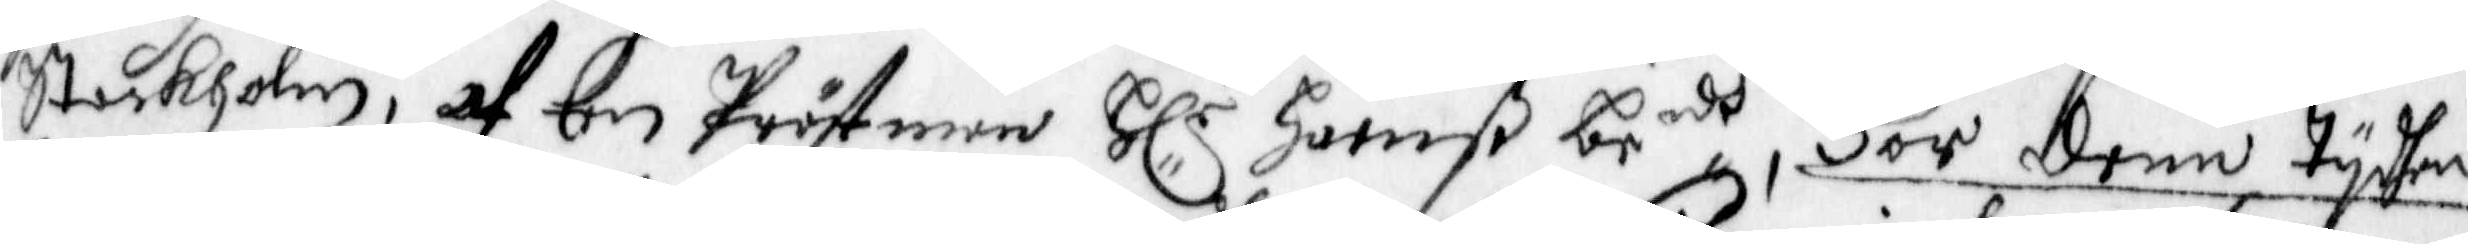Stockholm, af en Prästman Hl:r Hanß be:dh För denn tydhen
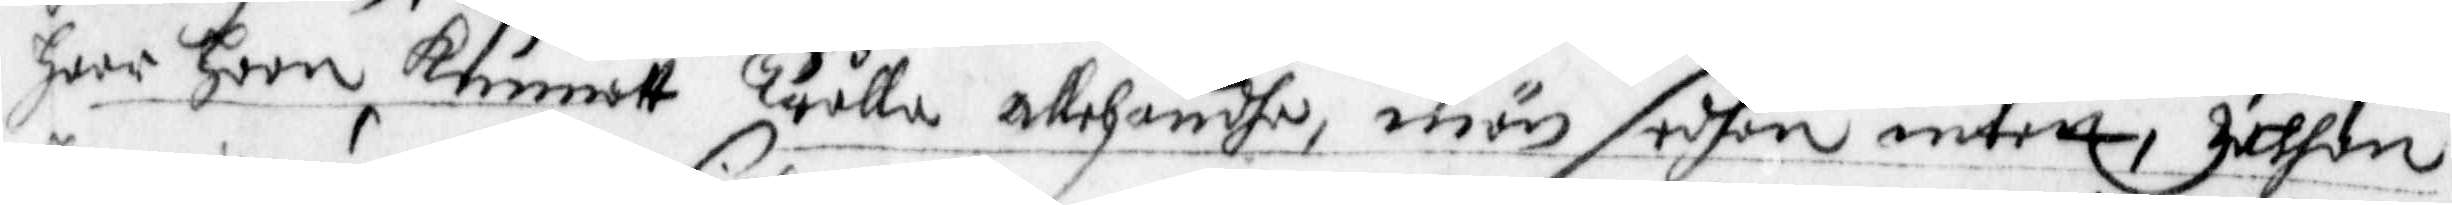haar hoon Kunnatt Trålla allehändhe, men sedhan intett, Zathan
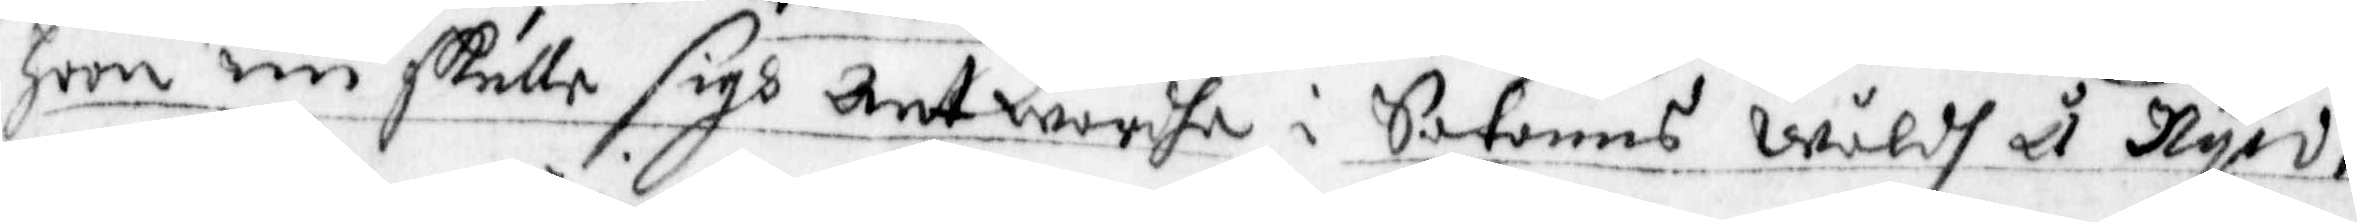hoon nu skulle sigh ant wardhe i Satans Wåldh å Nyo.
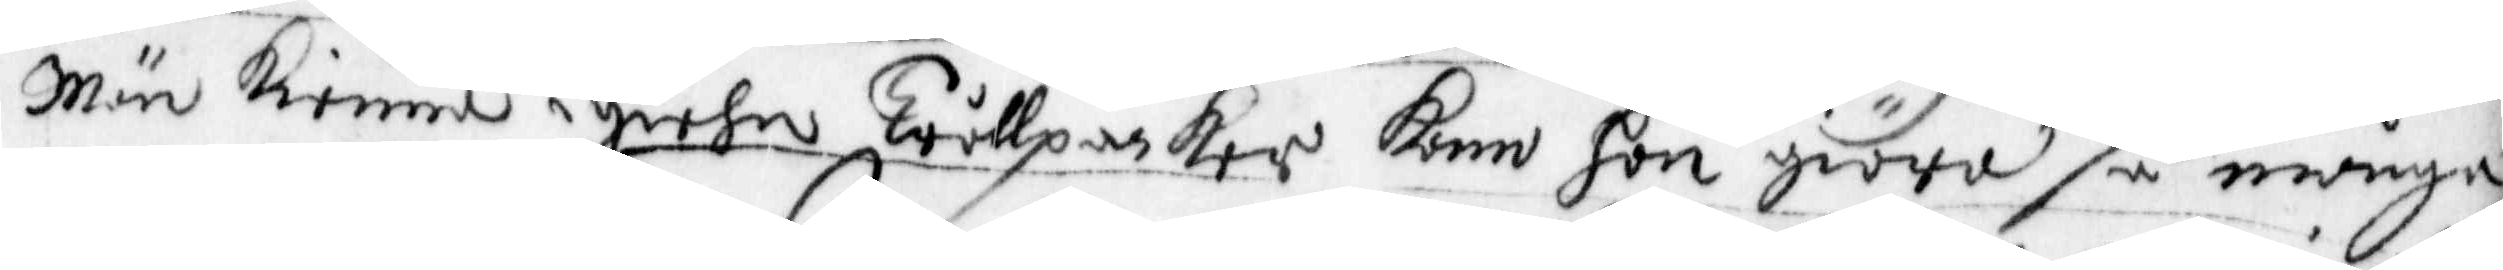Män kienna igiehn Trållpackor kam hon giöra, så många
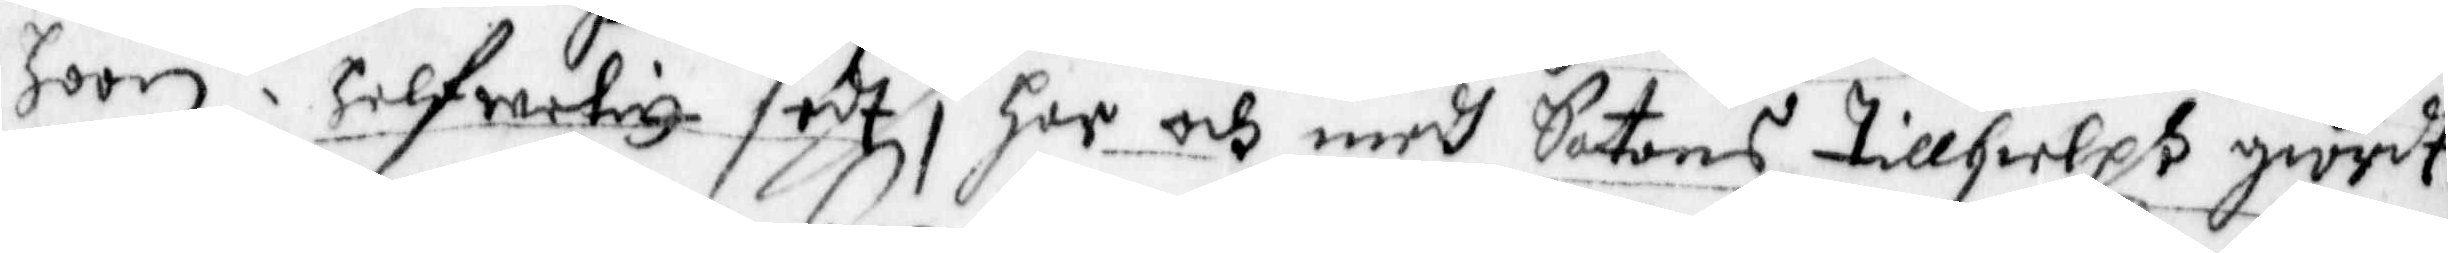hoon i Helfwetitt sedt, Har och medh Satans tillhielph giordt
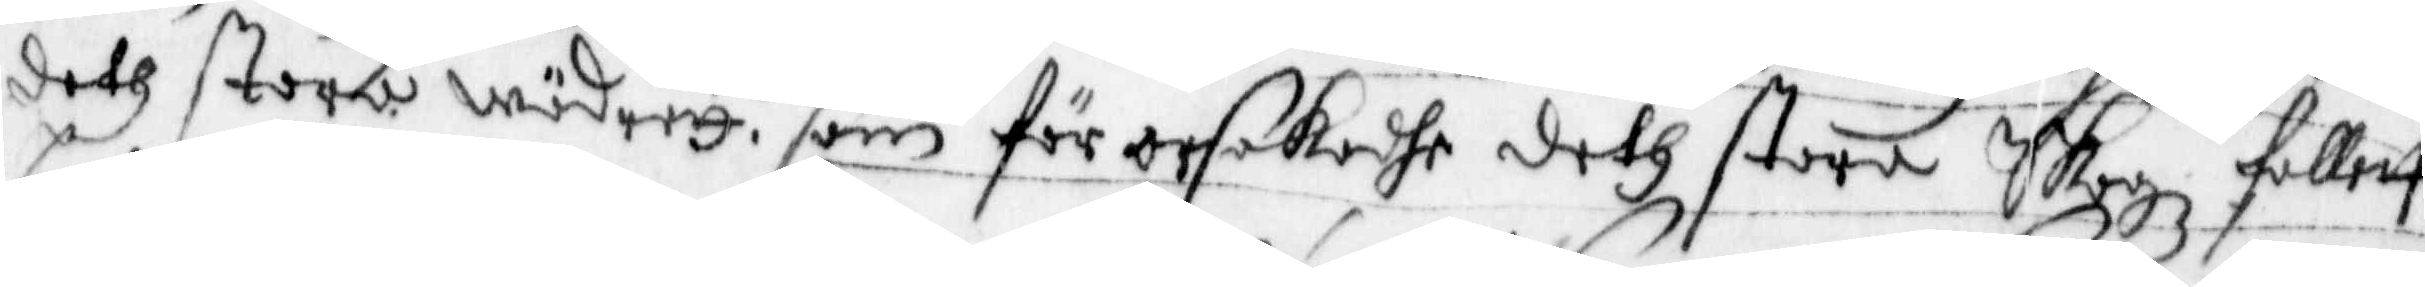deth stora Wädrett, som för orsakadhe deth stora Skogz fallett,
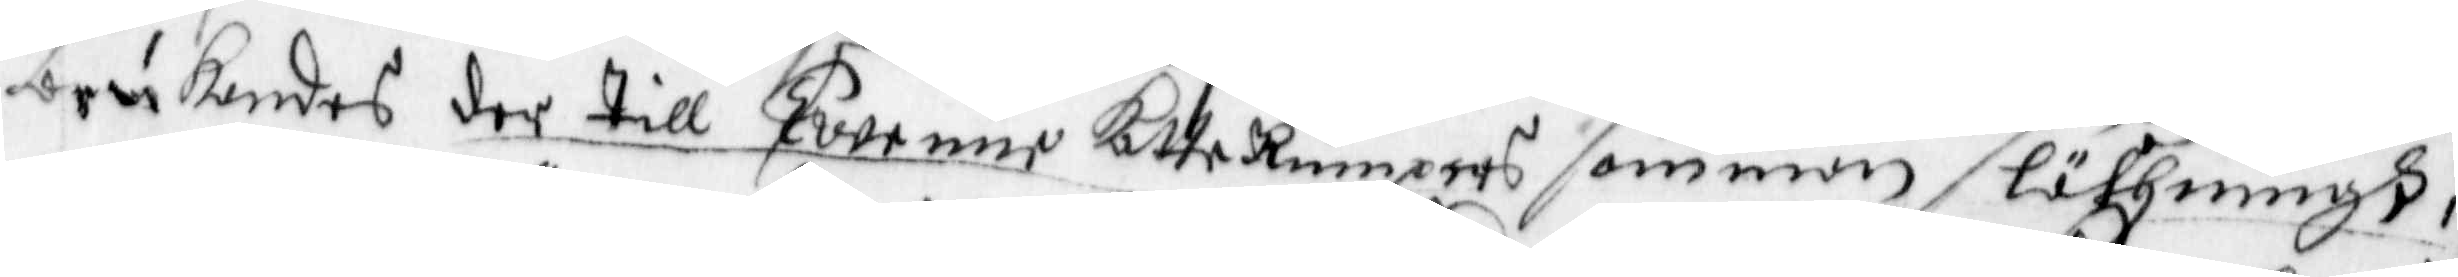brukandes der till förenne katterumpers som man släthningh,
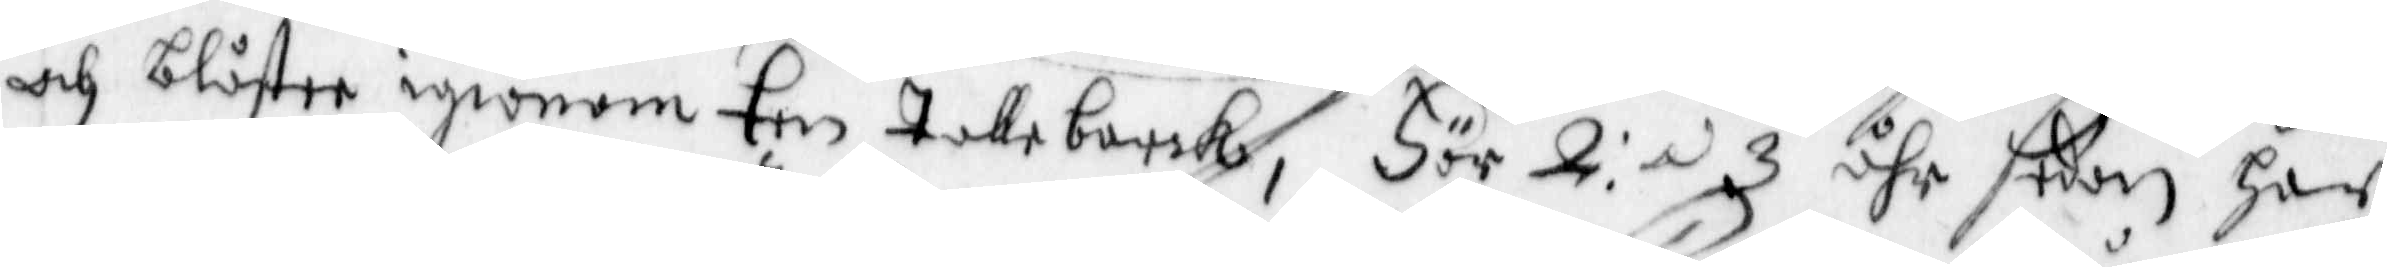och blåste igiönom Een Tallebarck, För 2: a 3 åhr sedan har
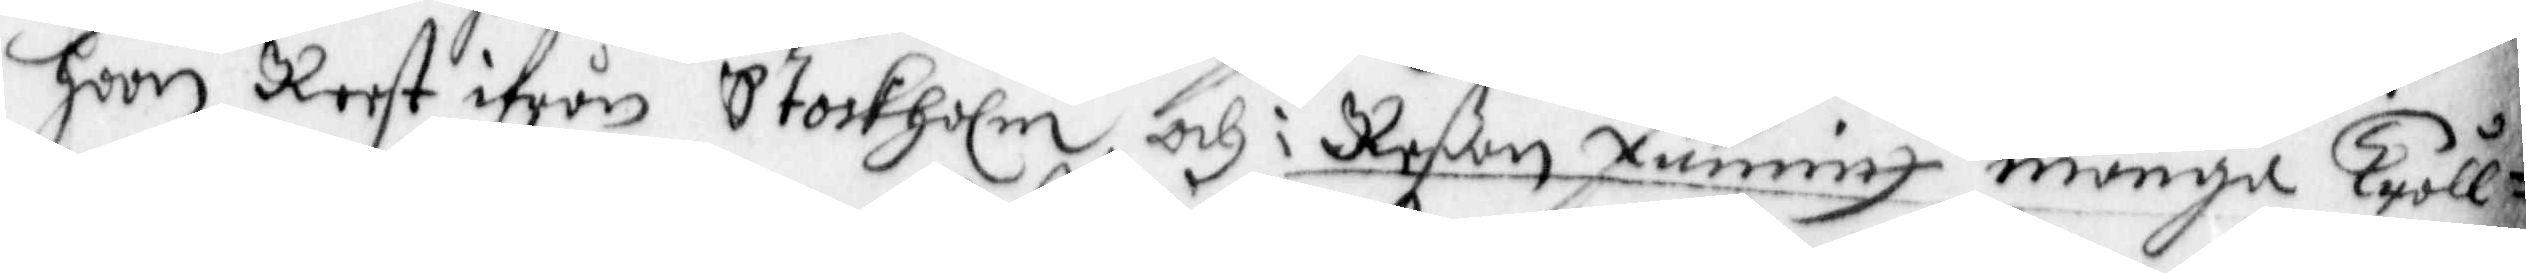hoon Reest ifrån Stockholm, och i Reßan funnitt många Tråll¬
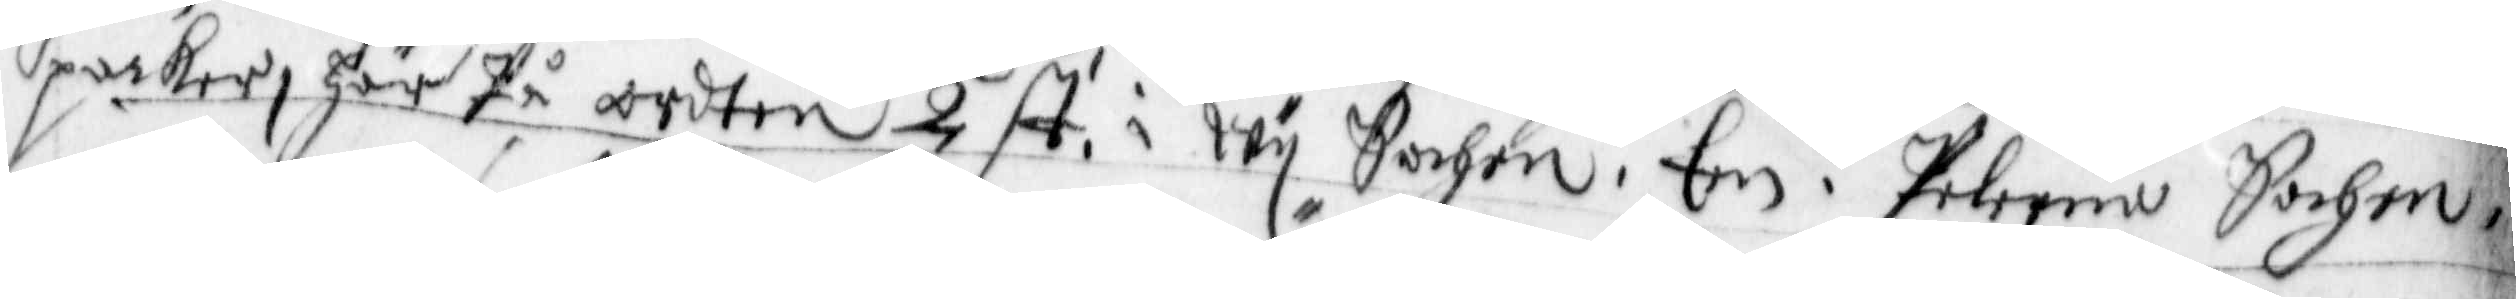packer, här På ordten 2 st. i Wy Sochn. En i Pelerna Sochn,
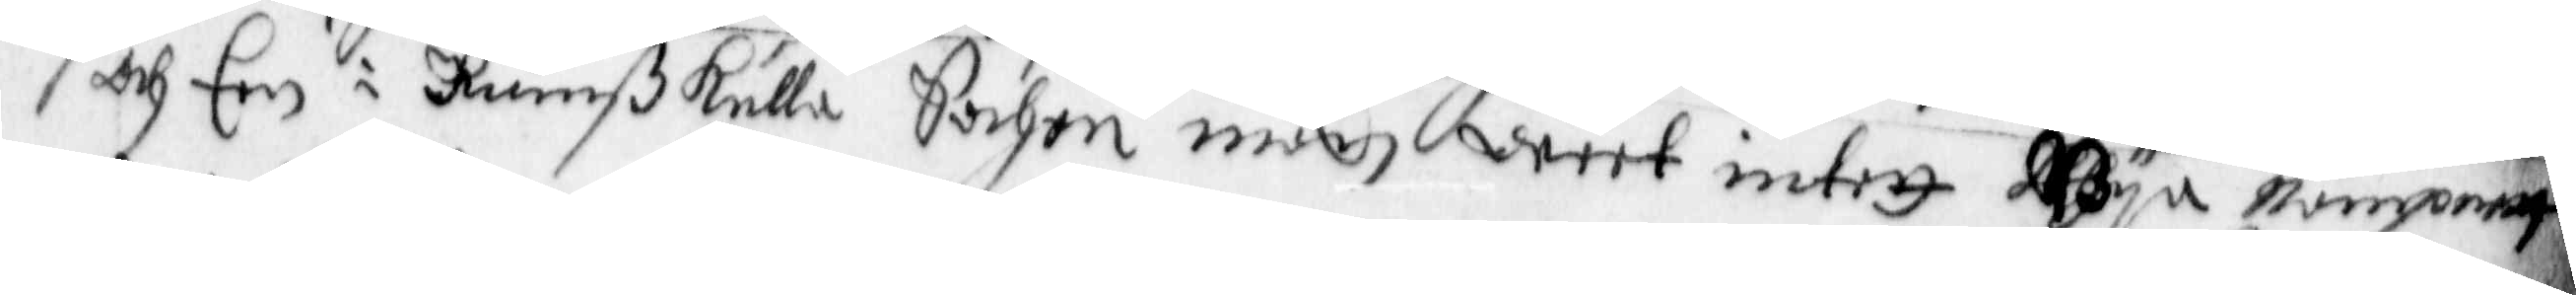och Een i Rumßkulla Sochen män, weet intett Bya nampnett
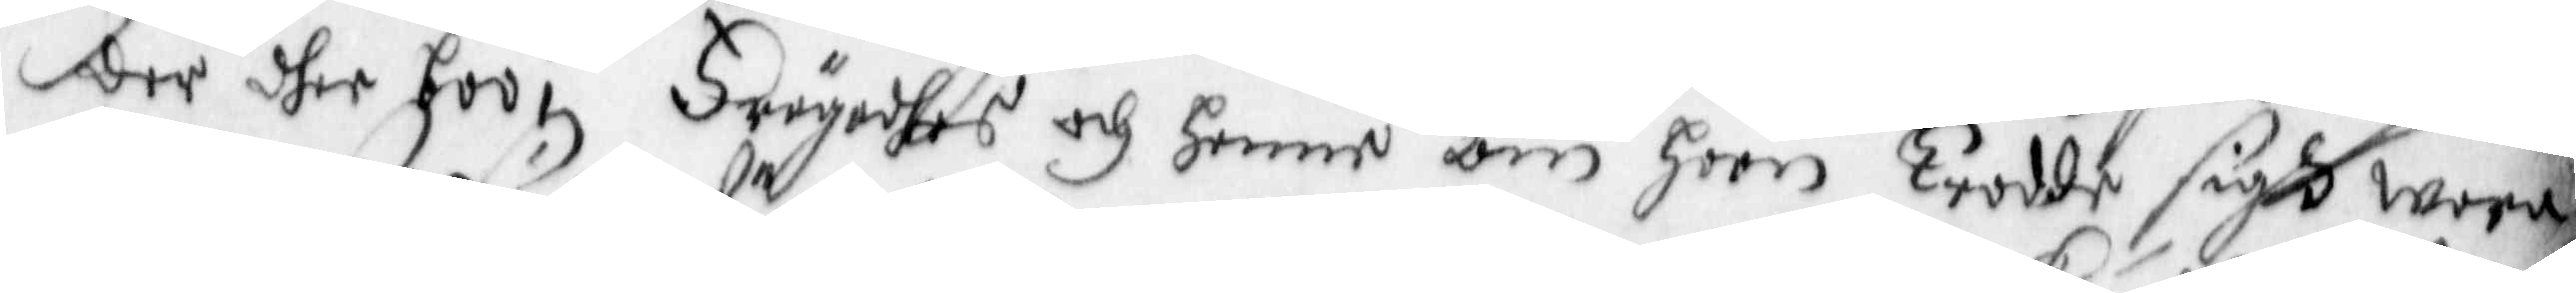der dher boo, Frågades och Henne om hoon Trodde sigh wora
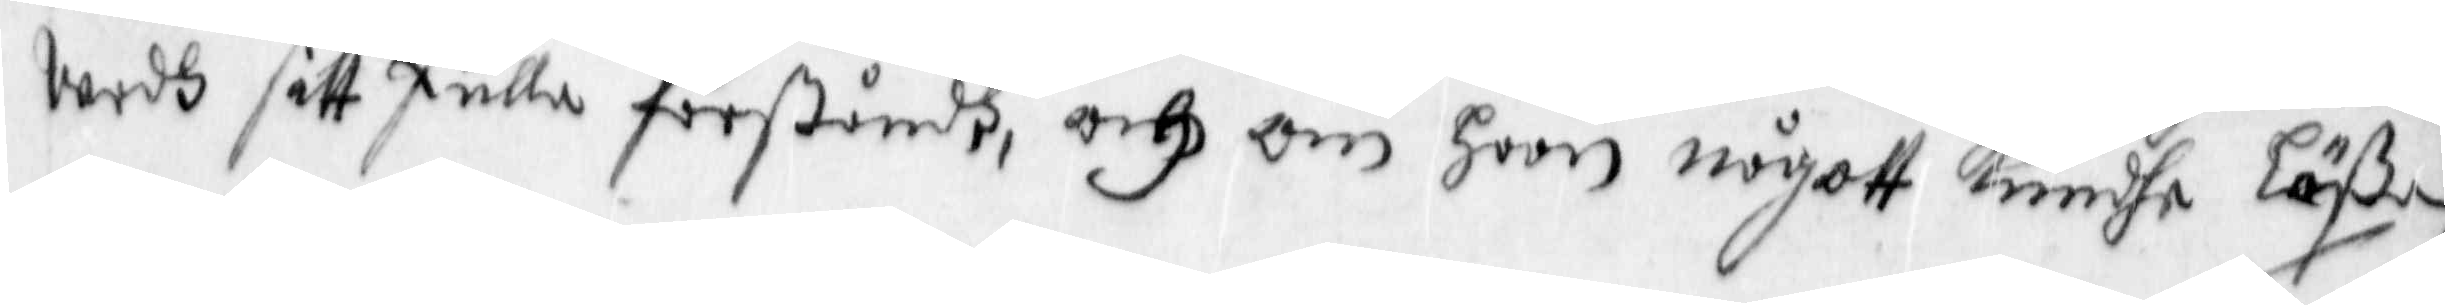wedh sitt Fulla förståndh, och om hoon någott Kundhe Läßa,
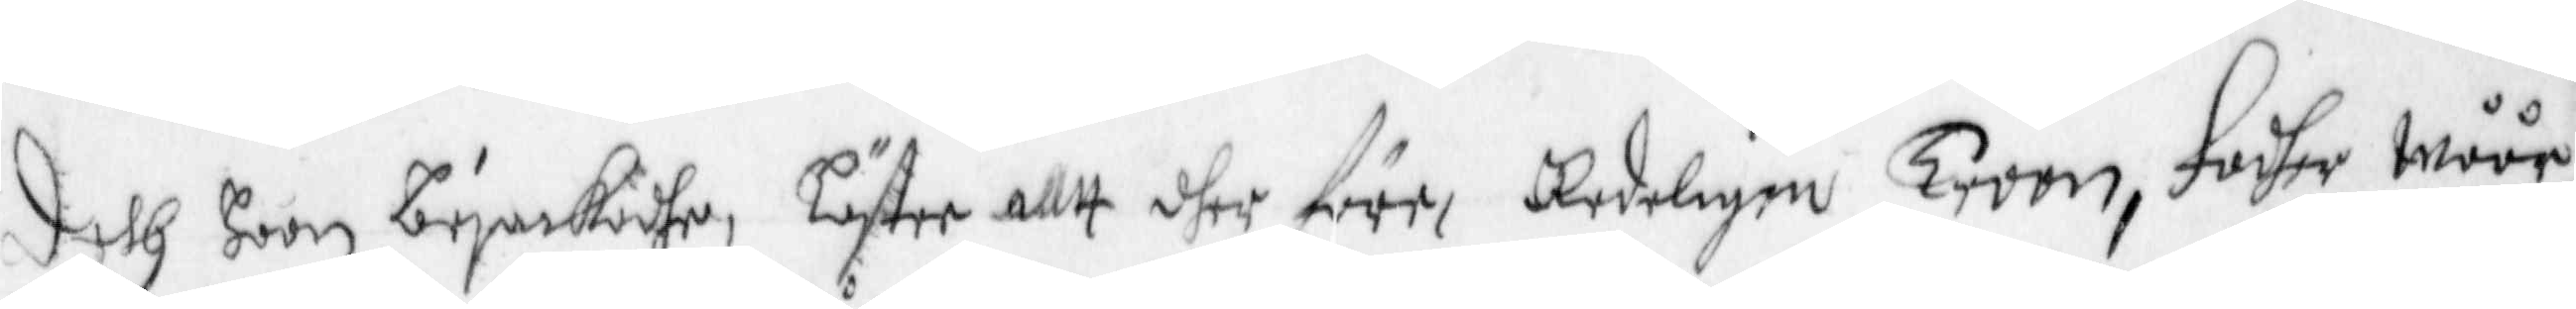deth hoon bejackadhe, Lästee allt dher före, Redeligen Troon, Fader Wåår
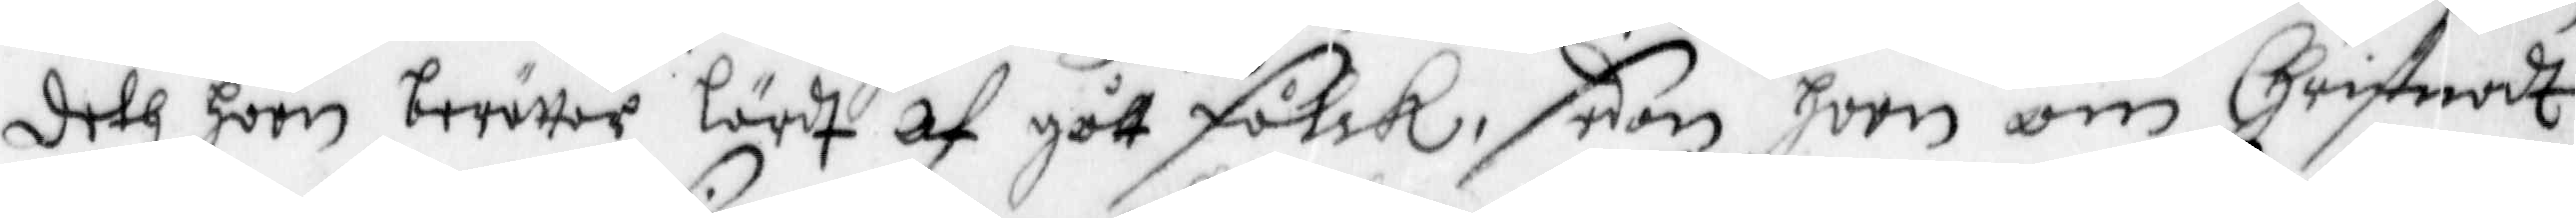deth hon berättar lärdt af gått Folck, som hoon om Christnadt
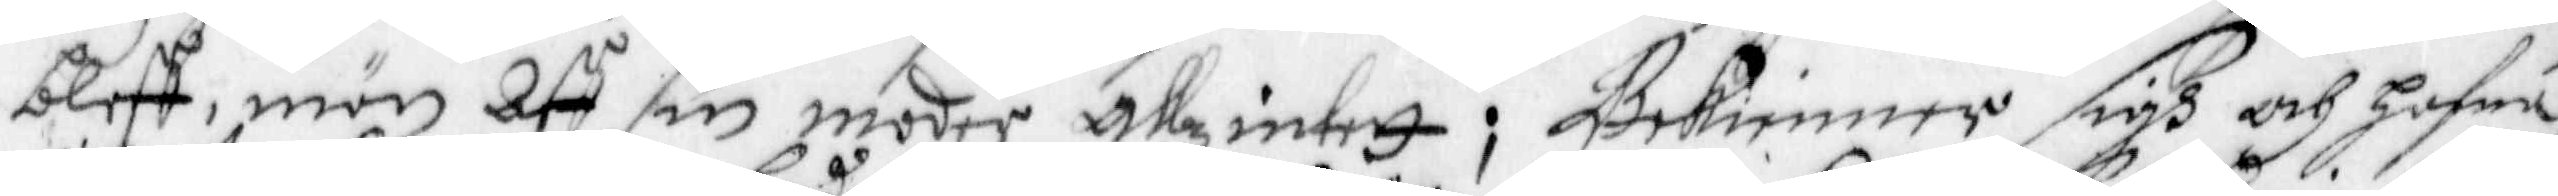bleff, män Aff sin moder allz intet; Bekienner sigh och hafua,
